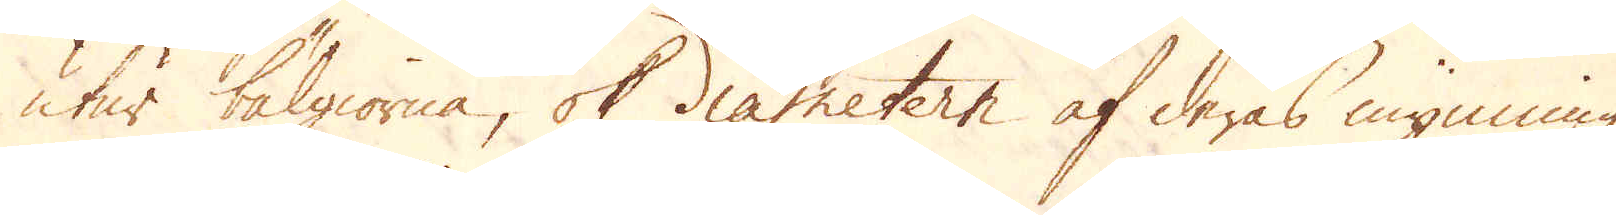utur bälgiorna, ok diametern af deras mynning
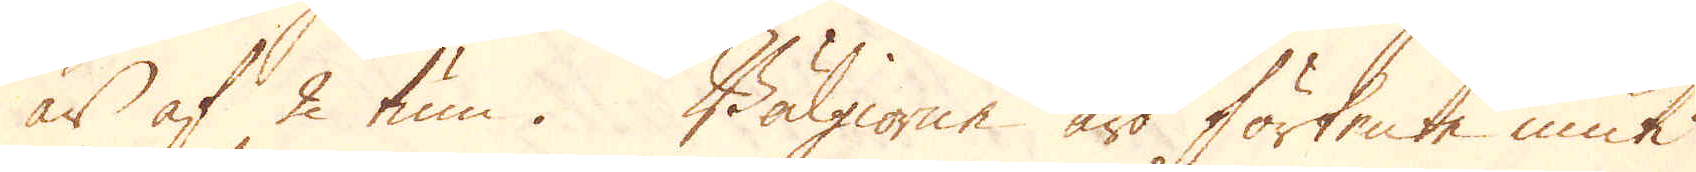är af 2 tum. Bälgiorne äro förtente inuti
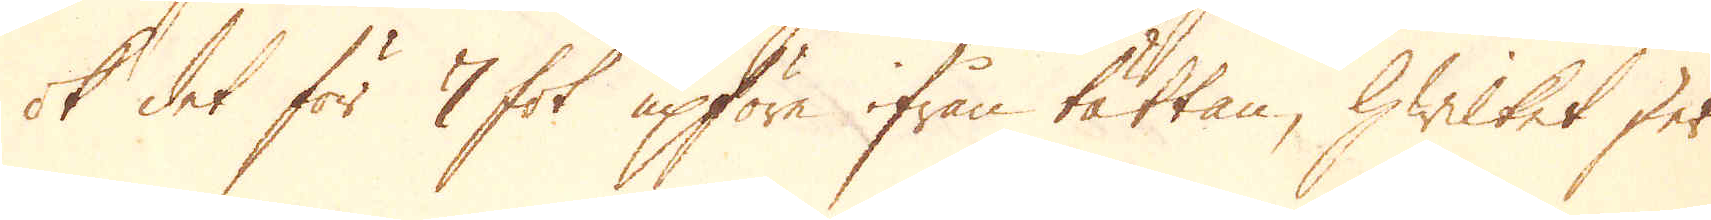ok det för 7 fot upföre ifrån tättan, hwilket sker
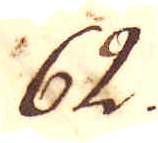62.
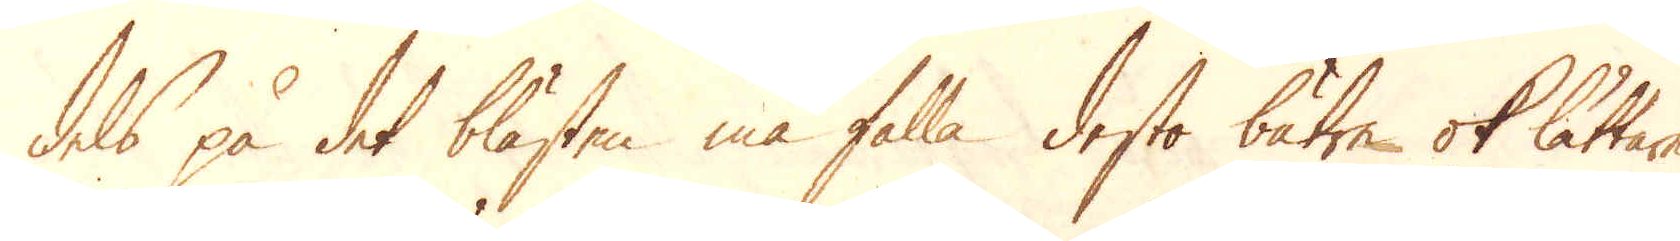dels på det blästen må falla desto bätre ok lättare
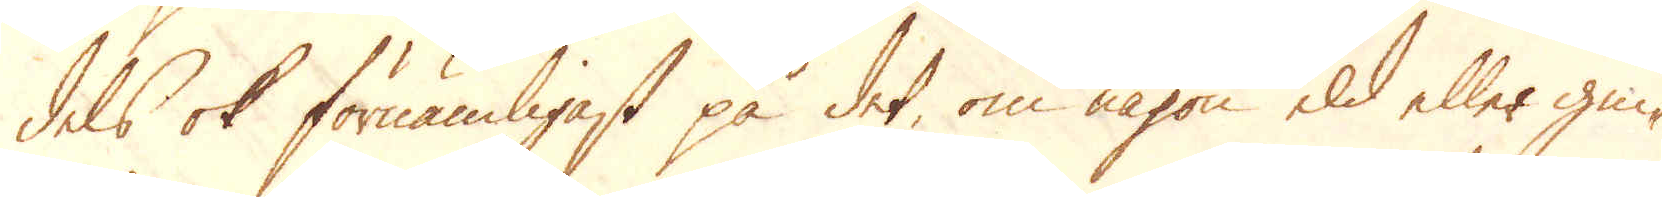dels ok förnämligast på det om någon eld eller gni-
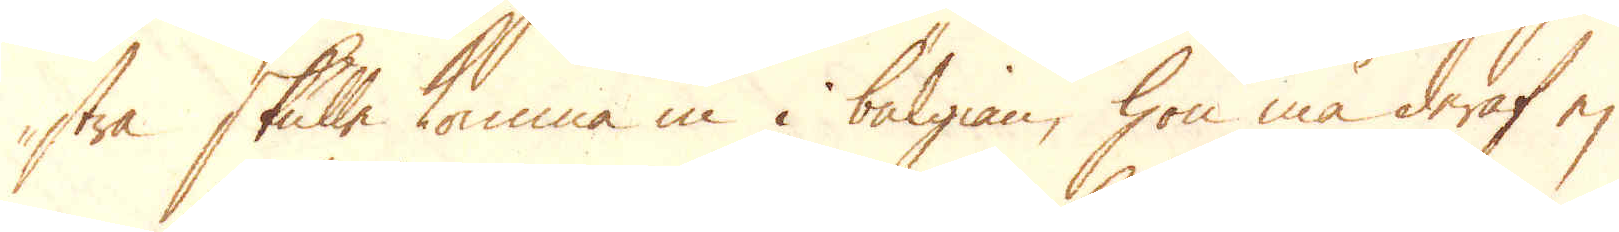stra skulle komma in i bälgian, hon må deraf ej
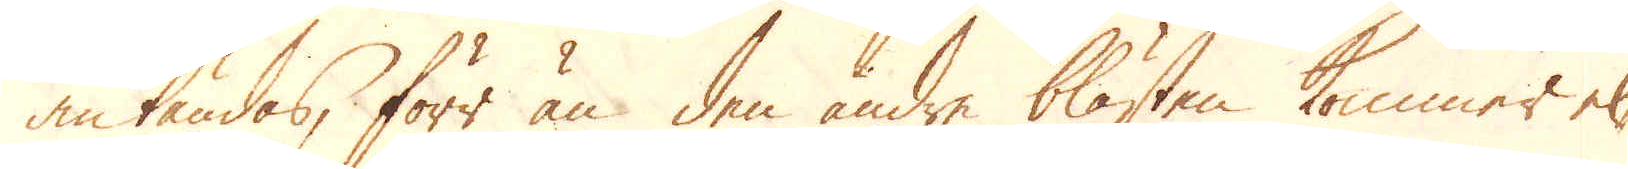antändas, förr än den andre blästen kommer el-
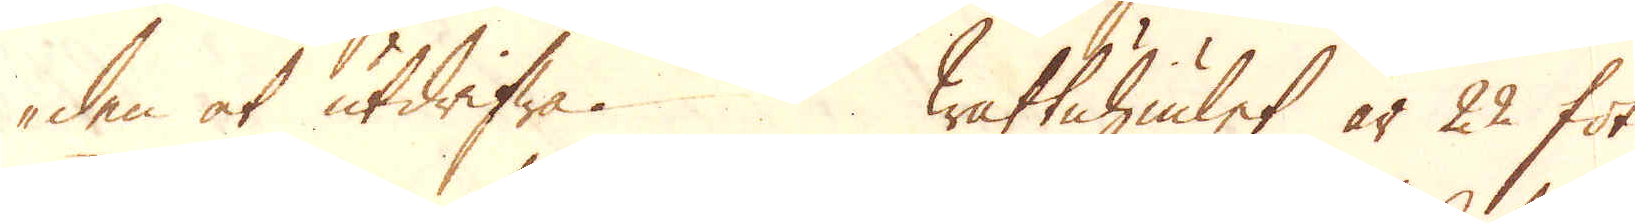den at utdrifwa. Wattuhiulet är 22 fot
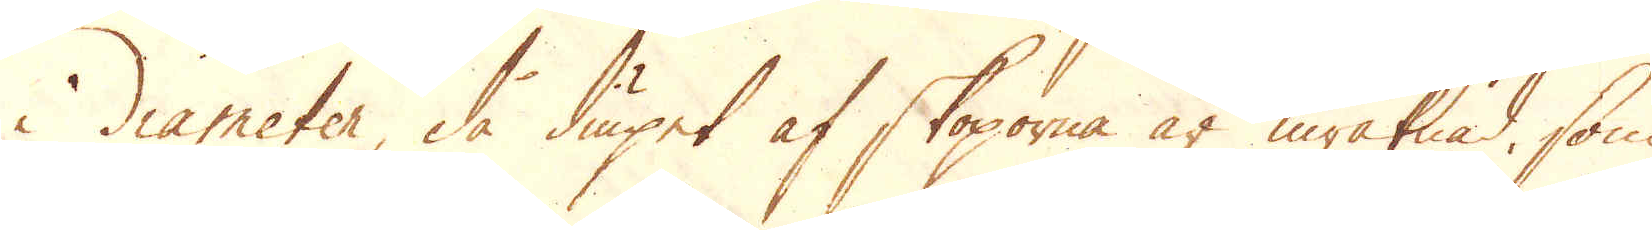i diameter, då diupet af skoporna är inräknad, som
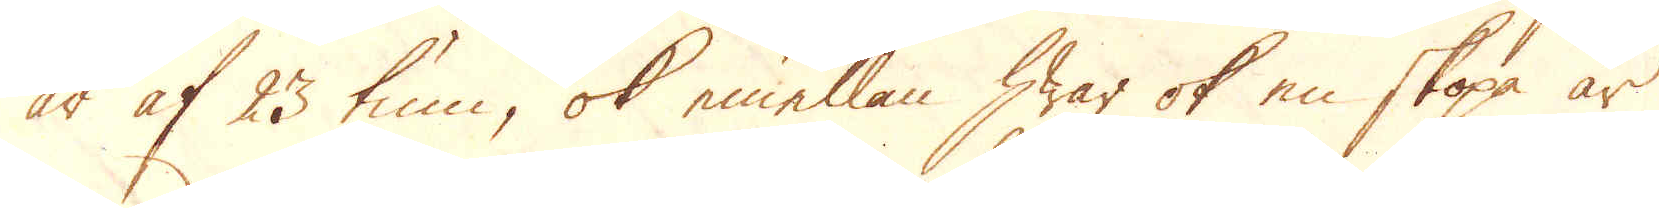är af 23 tum, ok emellan hwar ok en skopa är
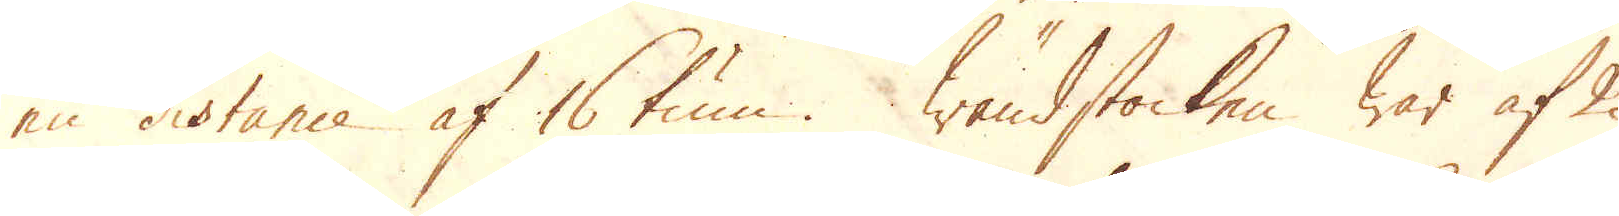en distance af 16 tum. Wändstocken war af 2
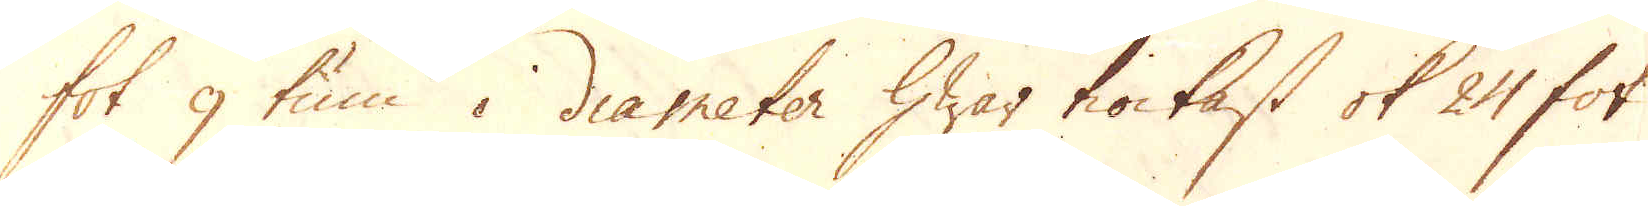fot 9 tum i diameter hwar tiockast ok 24 fot
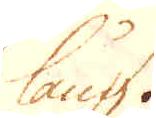lång.
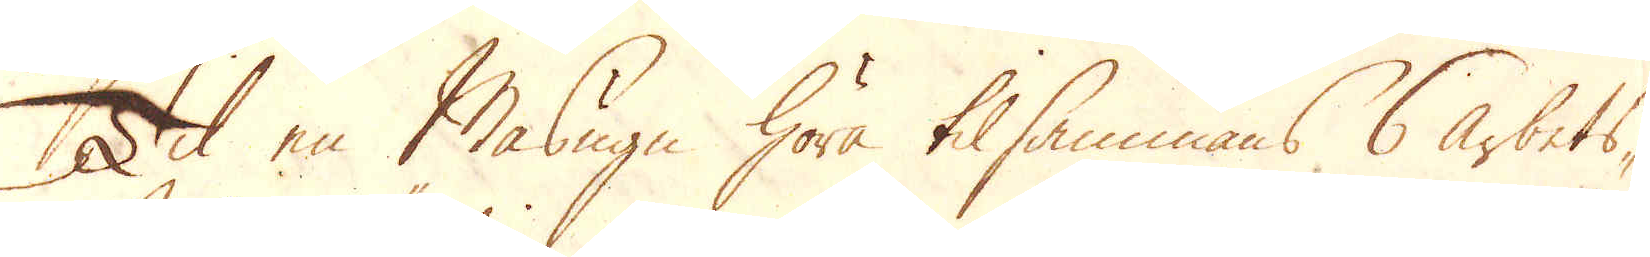Til en Masugn höra tilsammans 6 arbets-
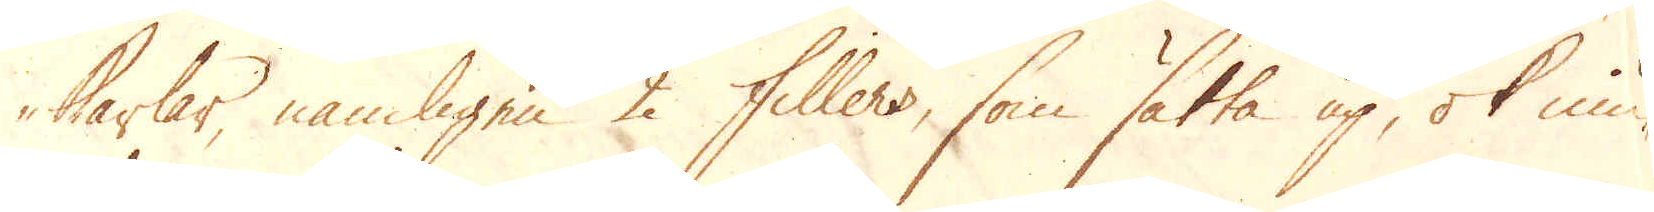karlar, nämligen 2 fillers, som sätta up, ok niu-
